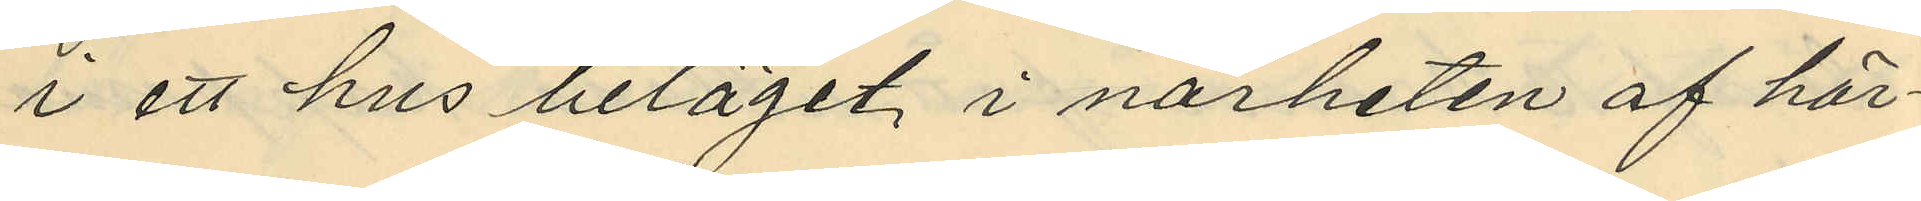i ett hus beläget i närheten af här¬
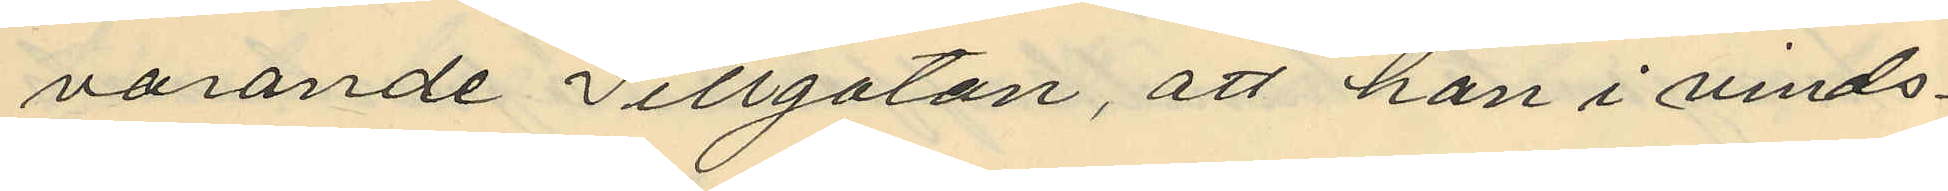varande Sillgatan, att han i vinds¬
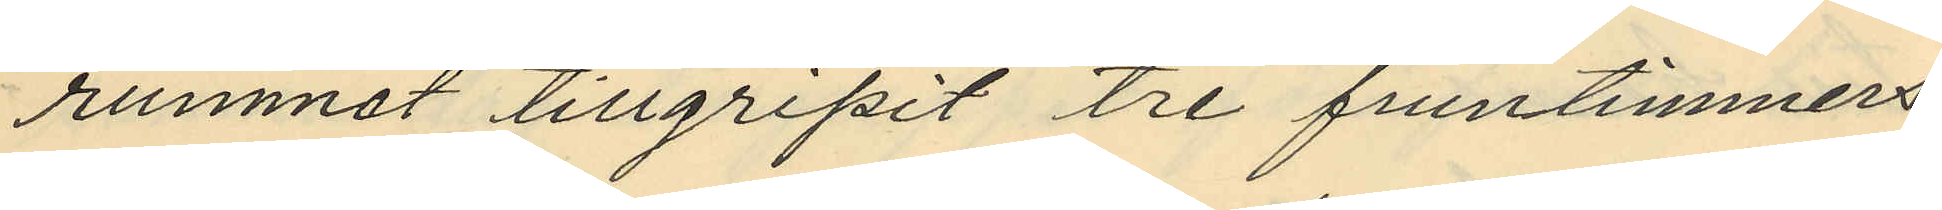rummot tillgripit tre fruntimmers¬
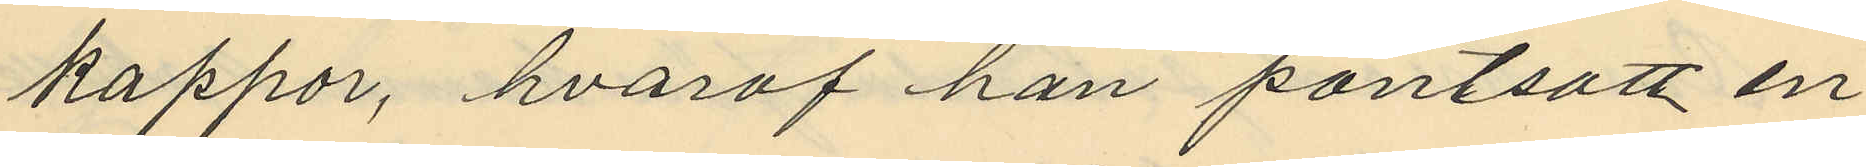kappor, hvaraf han pantsatt en
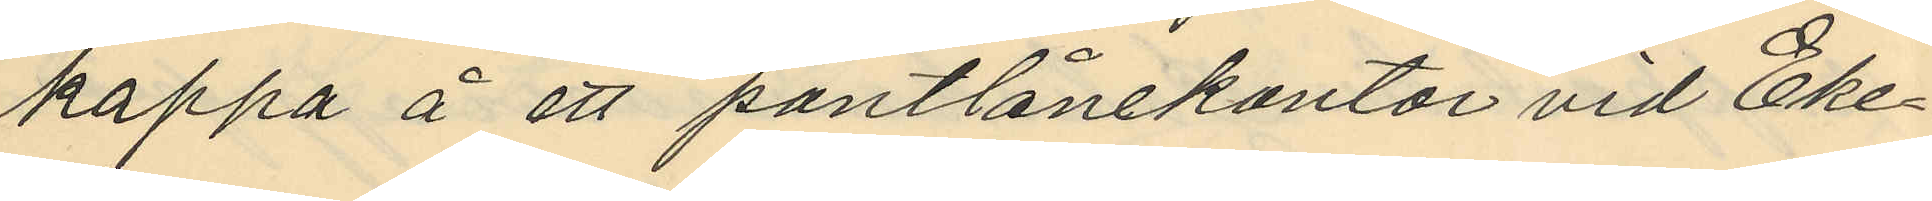kappa å ett pantlånekontor vid Eke¬
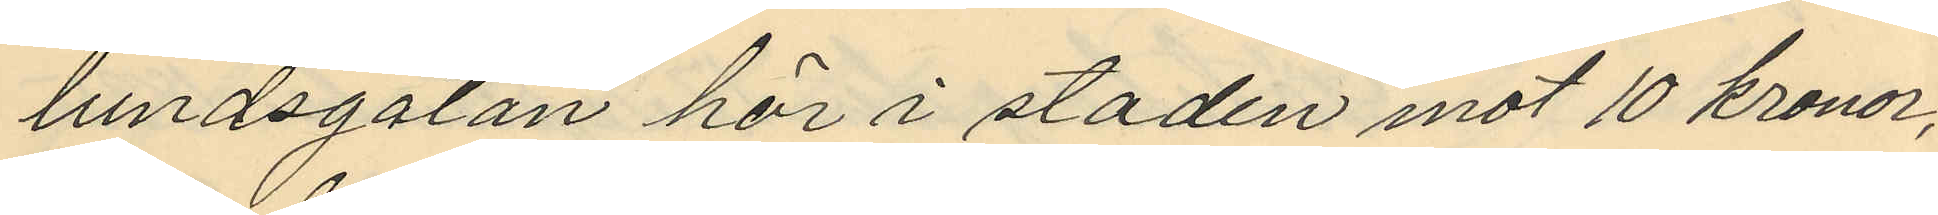lundsgatan här i staden mot 10 kronor,
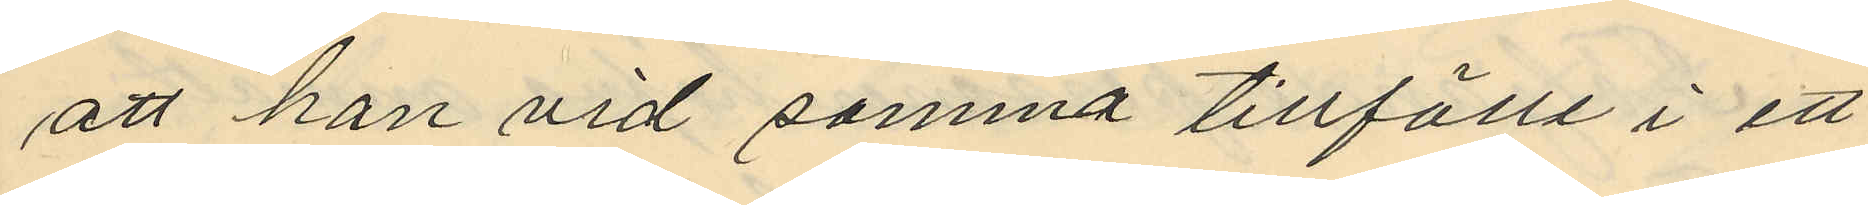att han vid samma tillfälle i ett
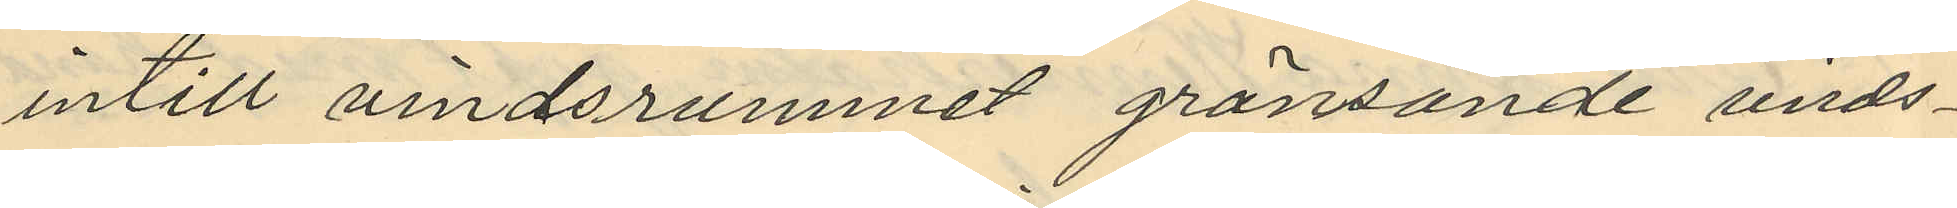intill vindsrummet gränsande vinds¬
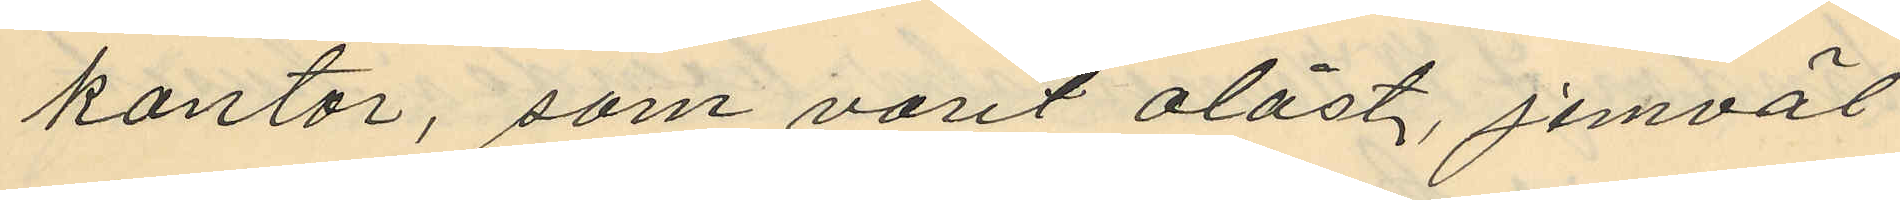kontor, som varit olåst, jemväl
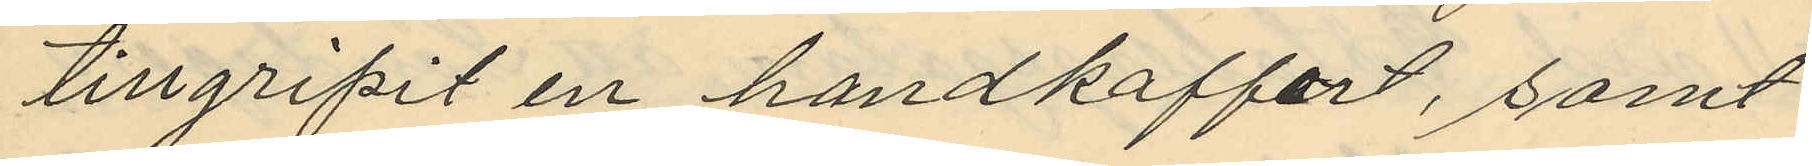tillgripit en handkoffert, samt
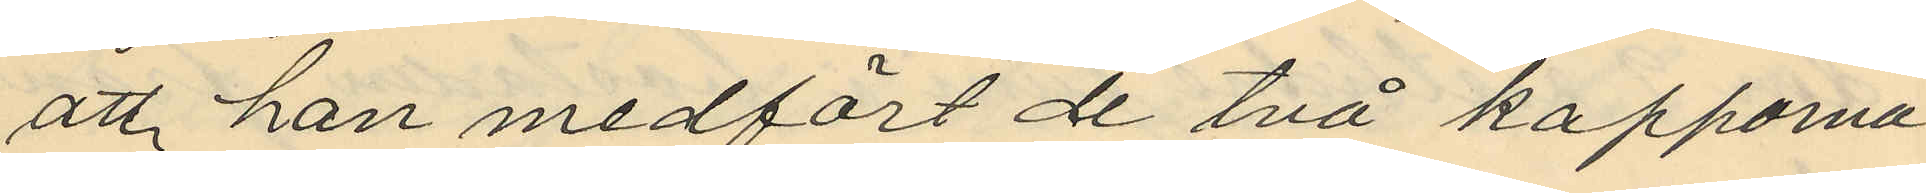att han medfört de två kapporna
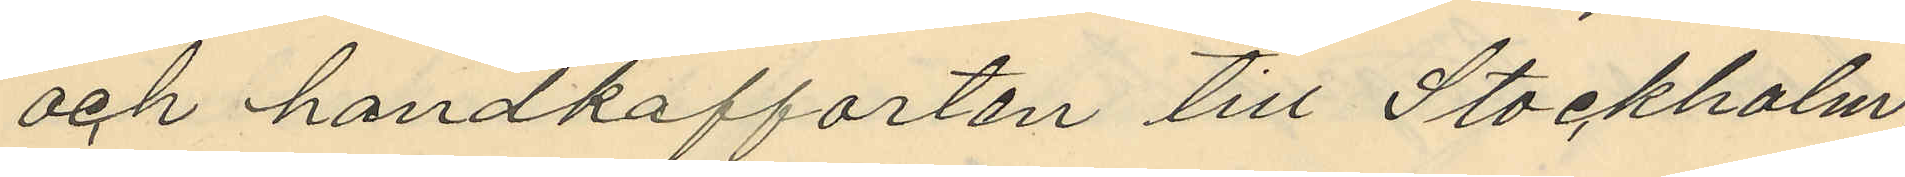och handkofforten till Stockholm
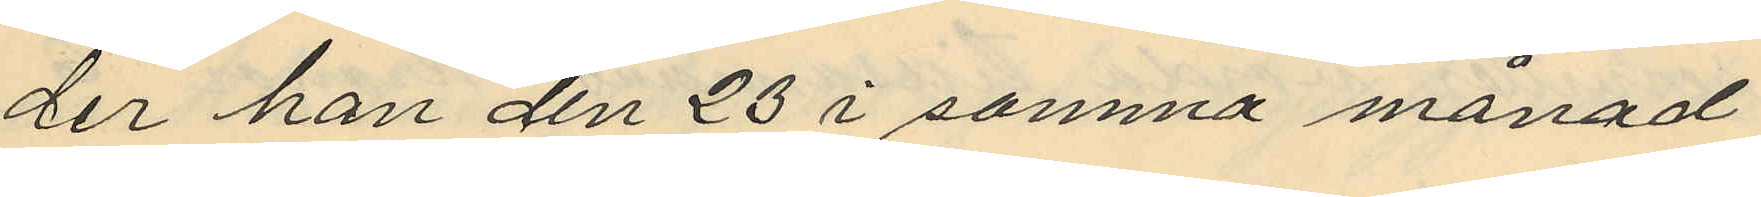der han den 23 i samma månad
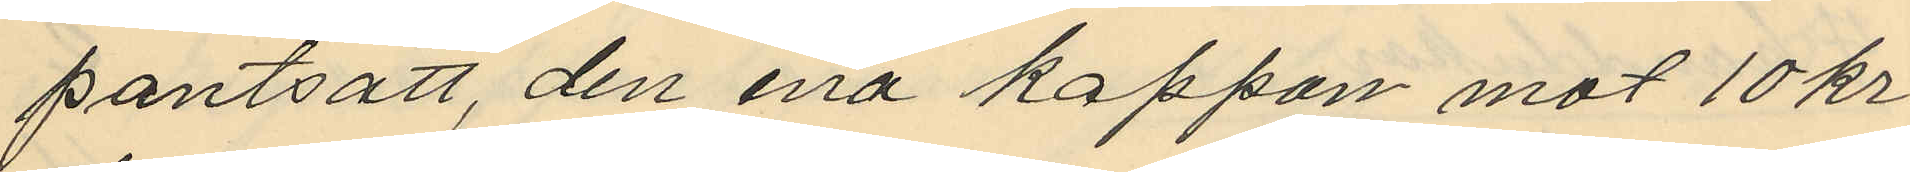pantsatt, den ena kappan mot 10 kr
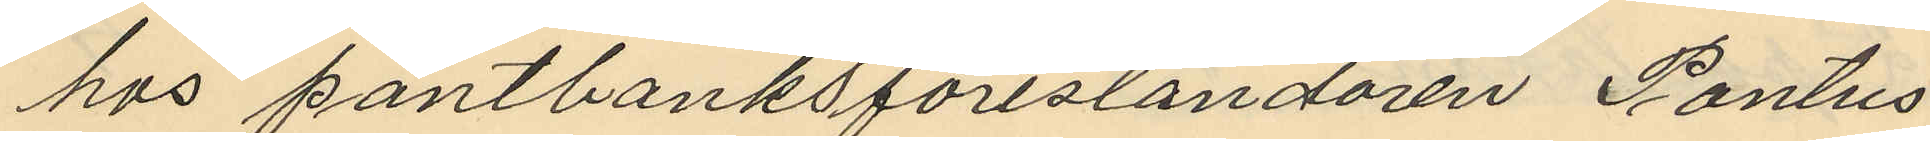hos pantbanksföreståndaren Pontus
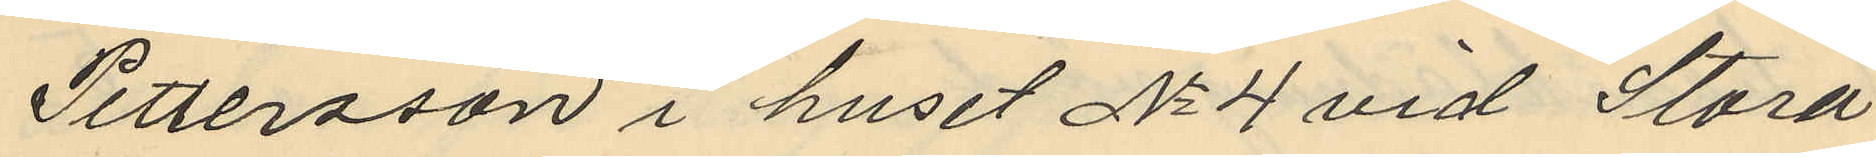Pettersson i huset No 4 vid Stora
